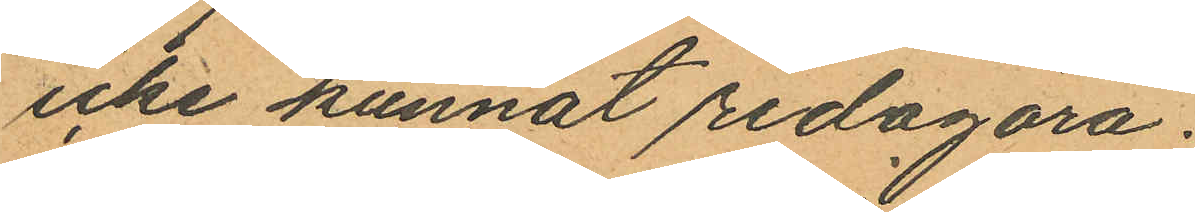icke kunnat redogöra.
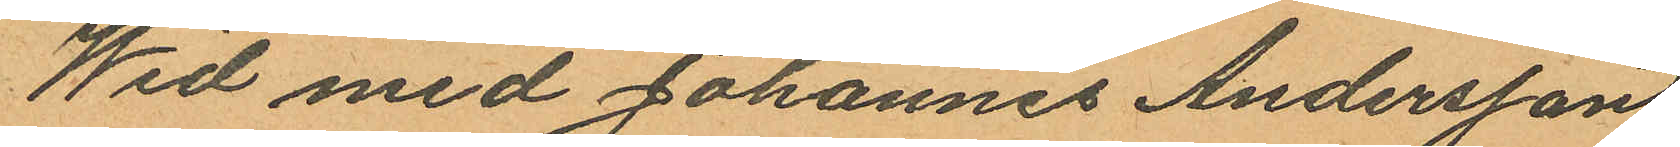Wid med Johannes Andersson
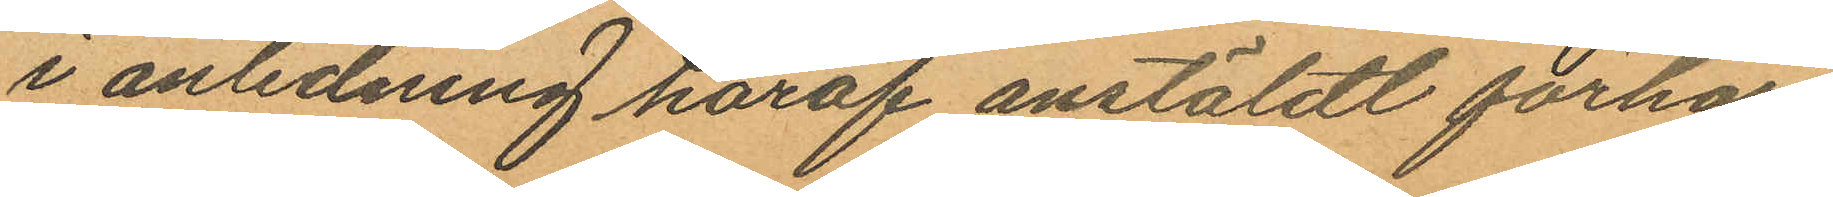i anledning häraf anstäldt förhör
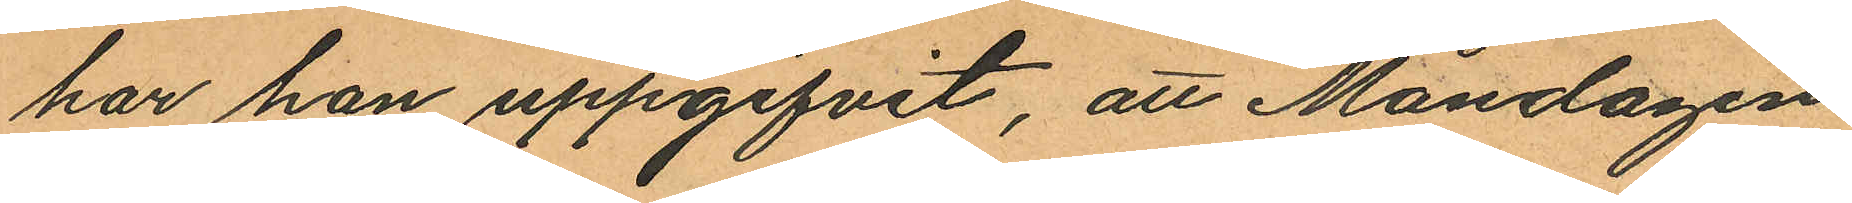har han uppgifvit, att Måndagen
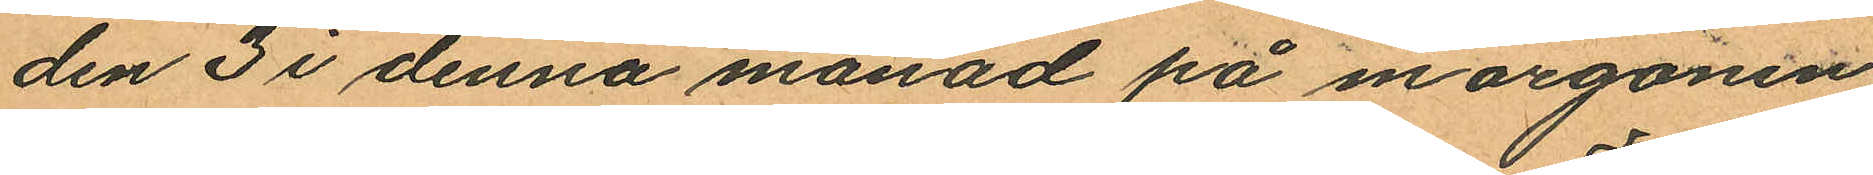den 3 i denna månad på morgonen
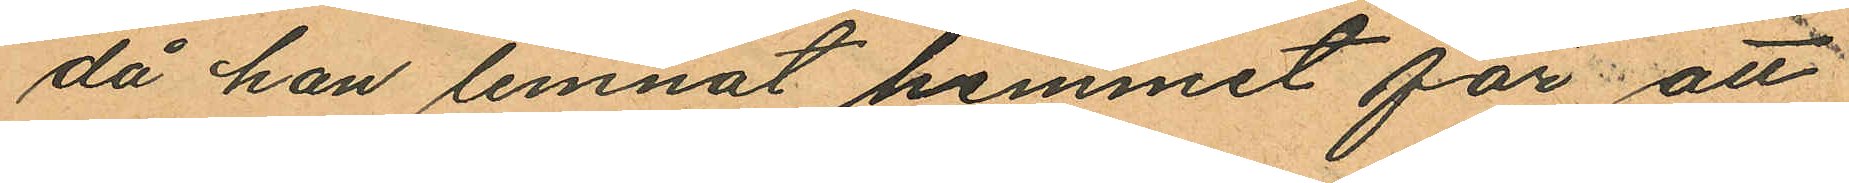då han lemnat hemmet för att
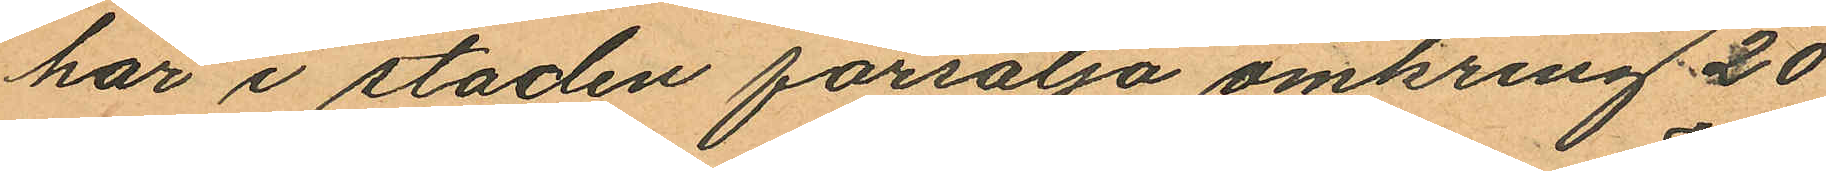här i staden försälja omkring 20
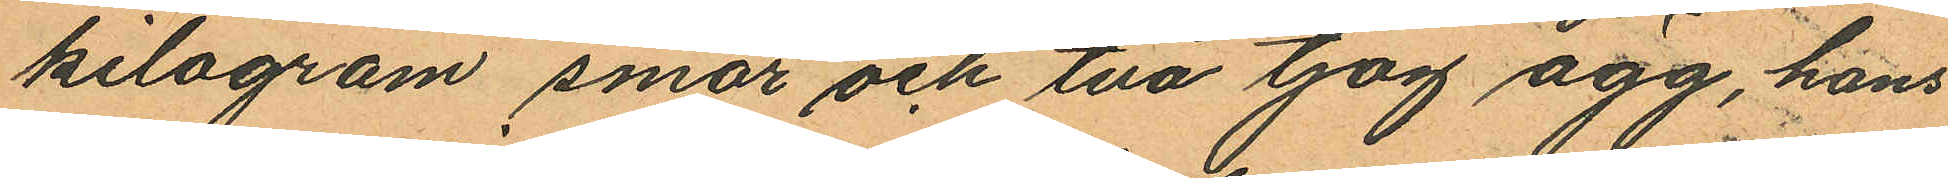kilogram smör och två tjog ägg, hans
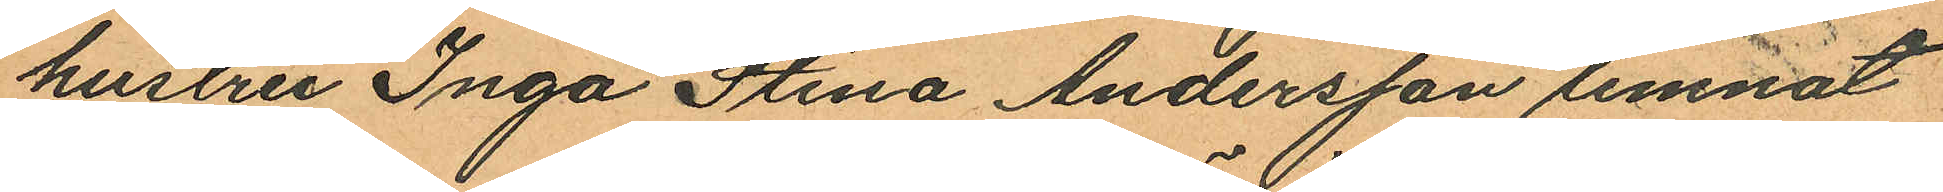hustru Inga Stina Andersson lemnat
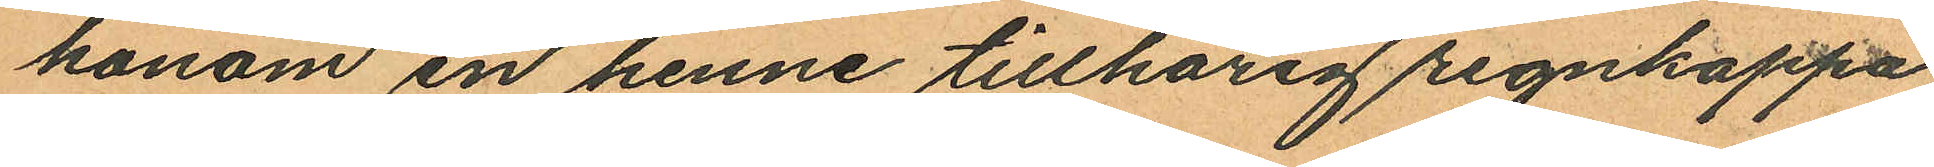honom en henne tillhörig regnkappa
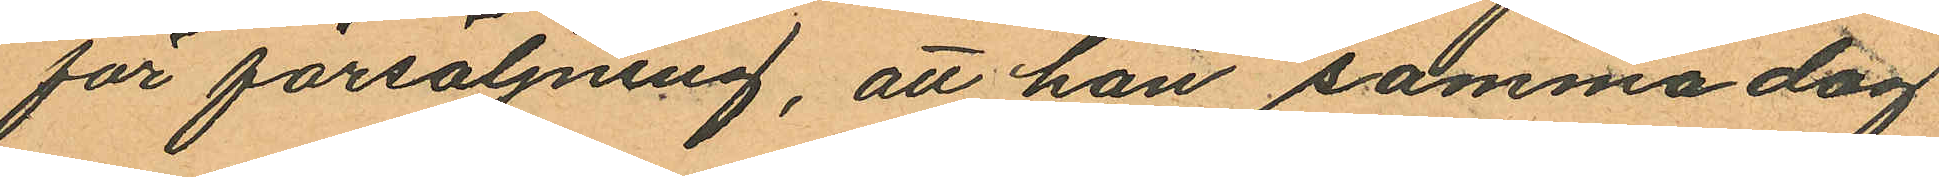för försäljning, att han samma dag
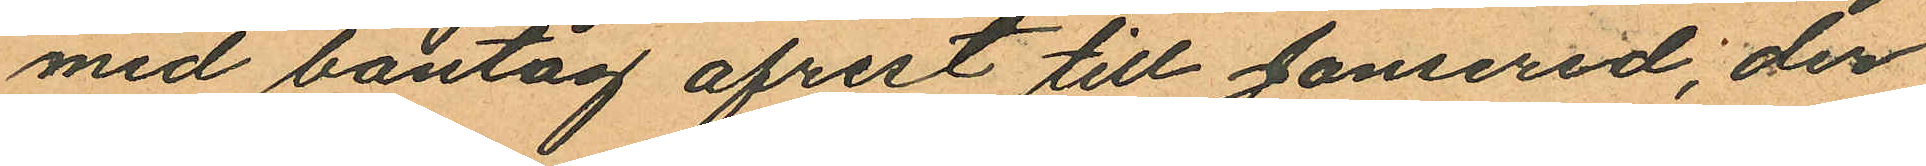med bantåg afrest till Jonsered, der
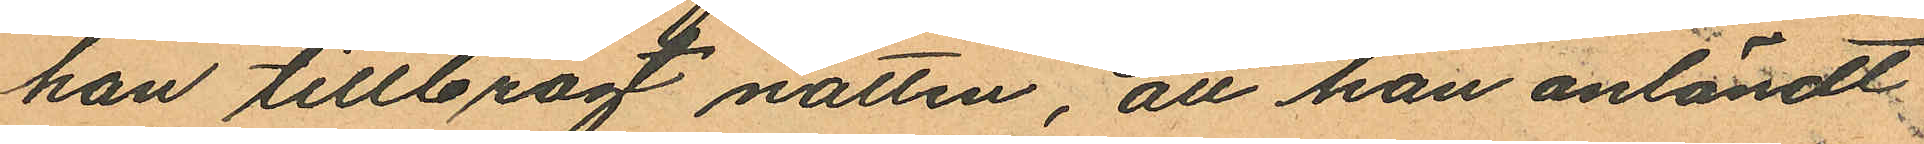han tillbragt natten, att han anländt
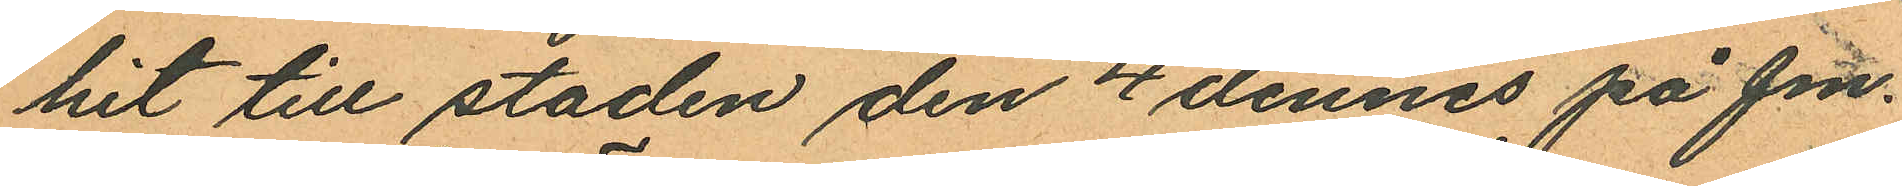hit till staden den 4 dennes på fm.
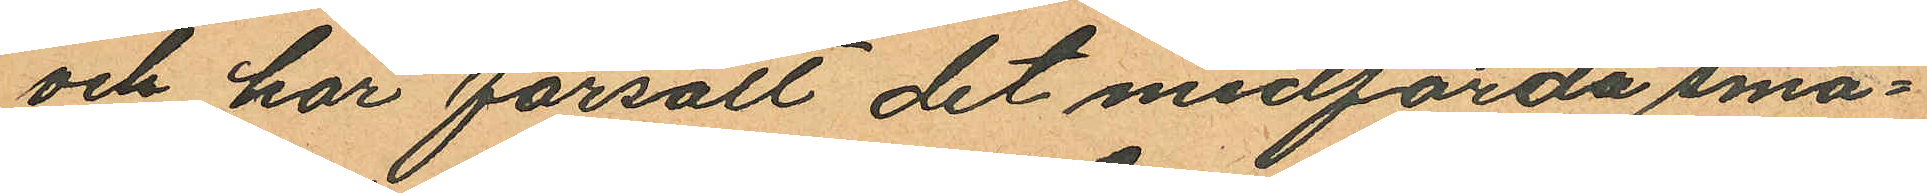och här försålt det medförda smö¬
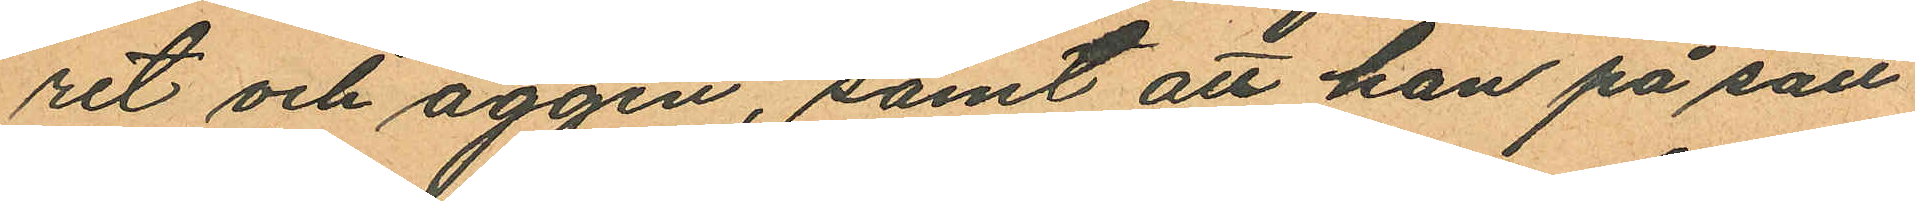ret och äggen, samt att han på sätt
